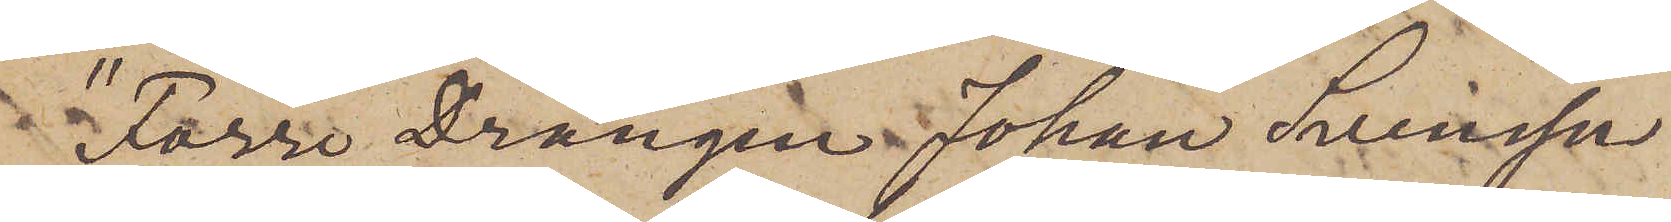"Förre Drängen Johan Svensson
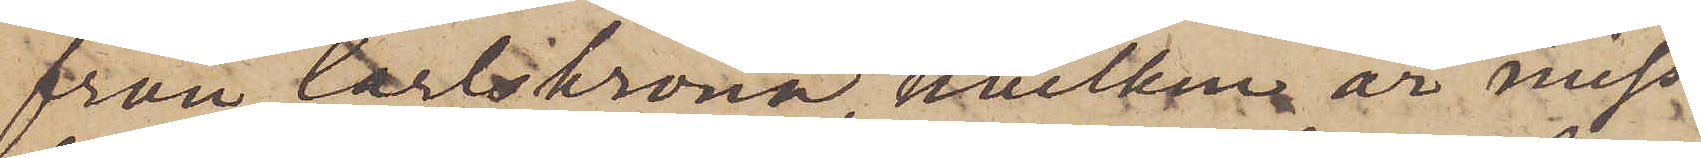från Carlskrona, hvilken är miss¬
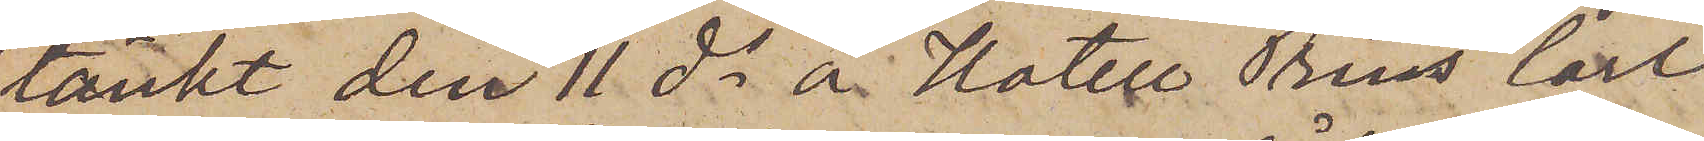tänkt den 11 ds å Hotell Prins Carl
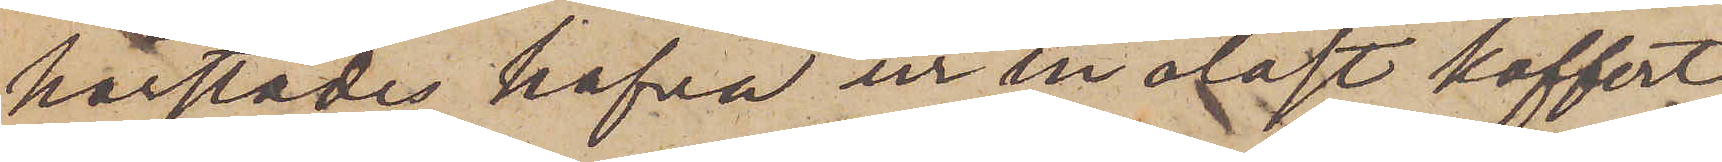härstädes hafva ur en olåst koffert
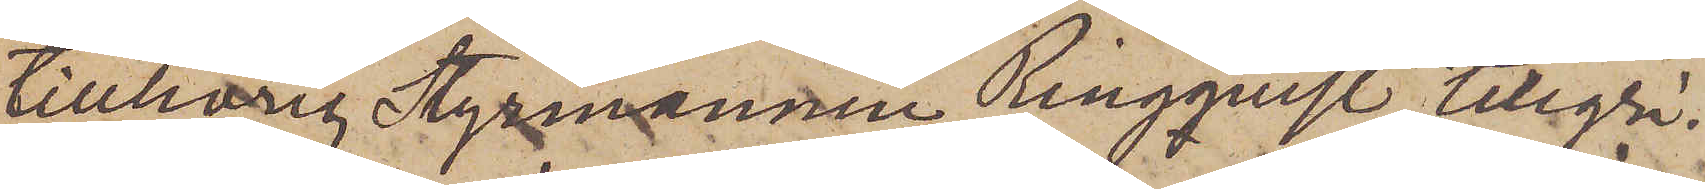tillhörig Styrmannen Ringqvist, tillgri¬
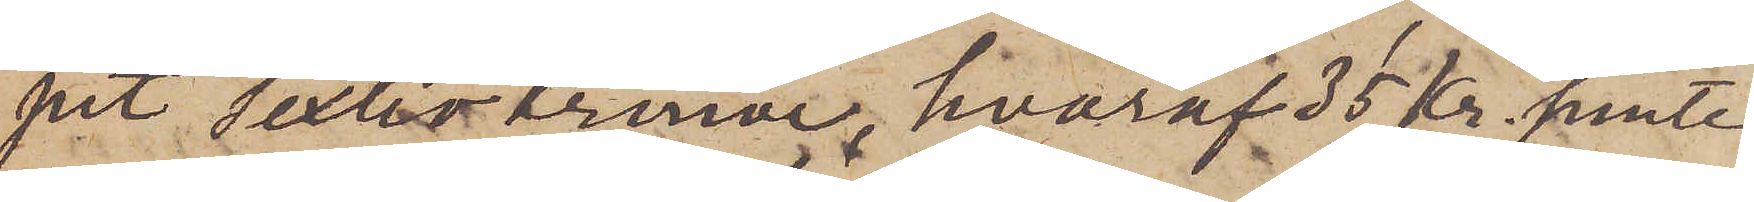pit sextio Kronor, hvaraf 35 kr. jemte
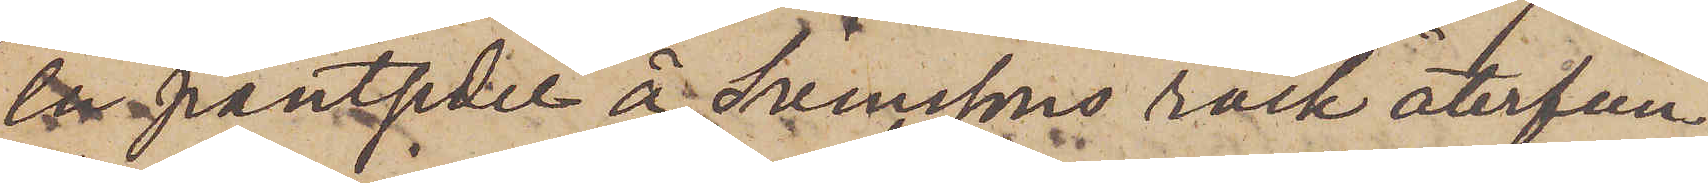en pantsedel å Svenssons rock återfun¬
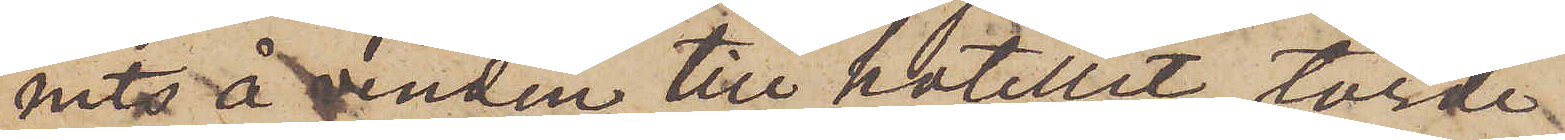nits å vinden till hotellet, torde
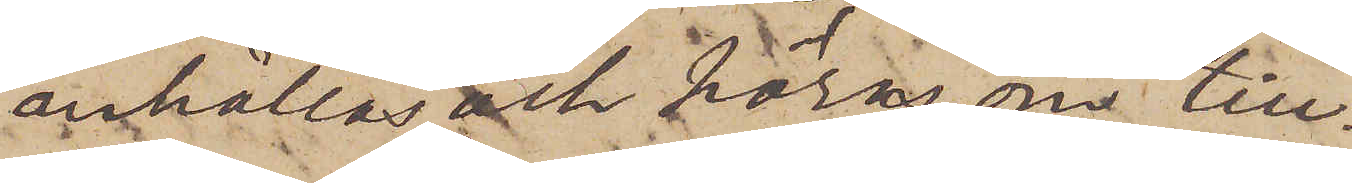anhållas och höras om till¬
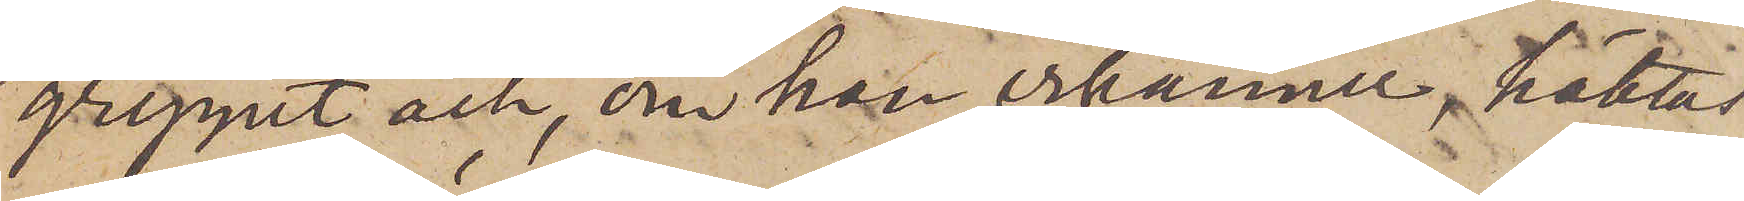greppet och, om han erkänner, häktas
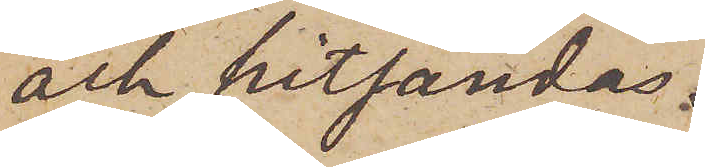och hitsändas.
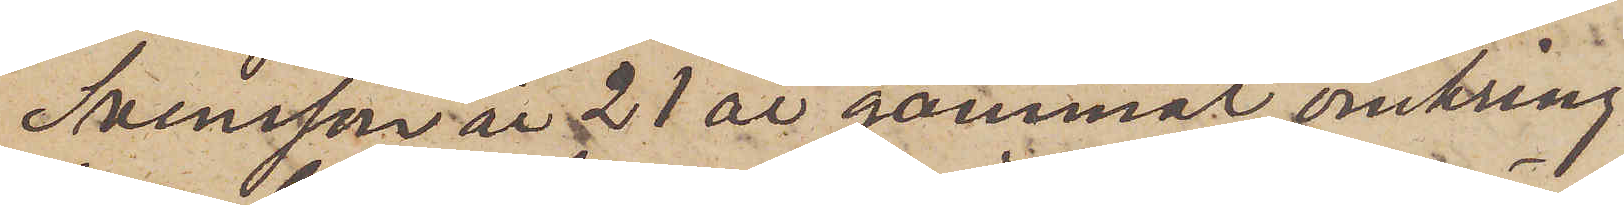Svensson är 21 år gammal, omkring
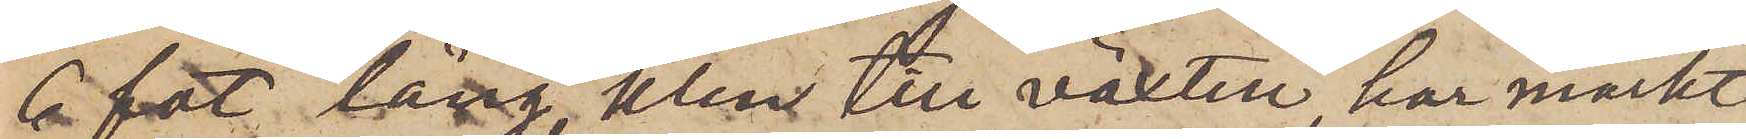6 fot lång, klen till växten, har mörkt
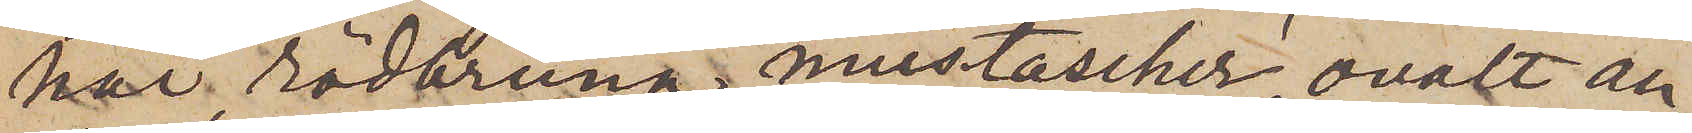hår, rödbruna mustascher, ovalt an¬
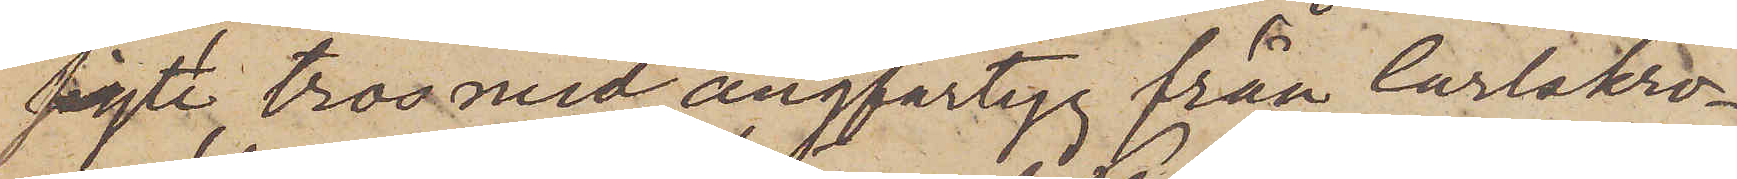sigte, tros med ångfartyg från Carlskro¬
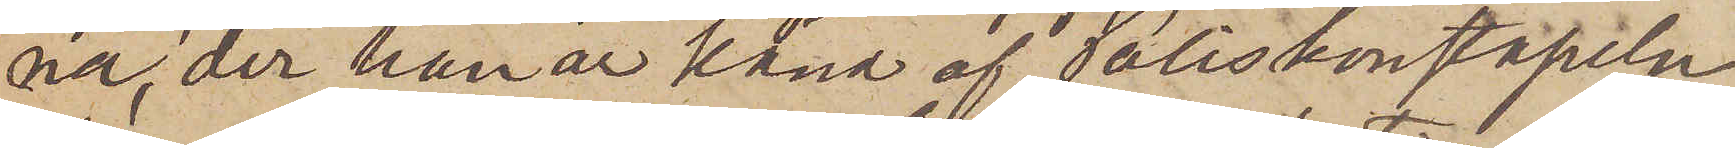na, der han är känd af Poliskonstapeln
